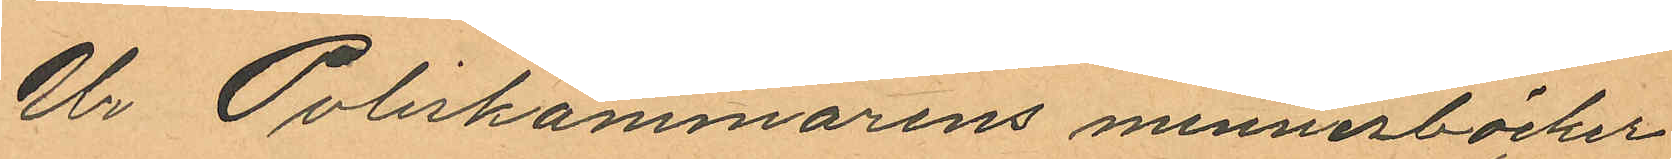Ur Poliskammarens minnesböcker
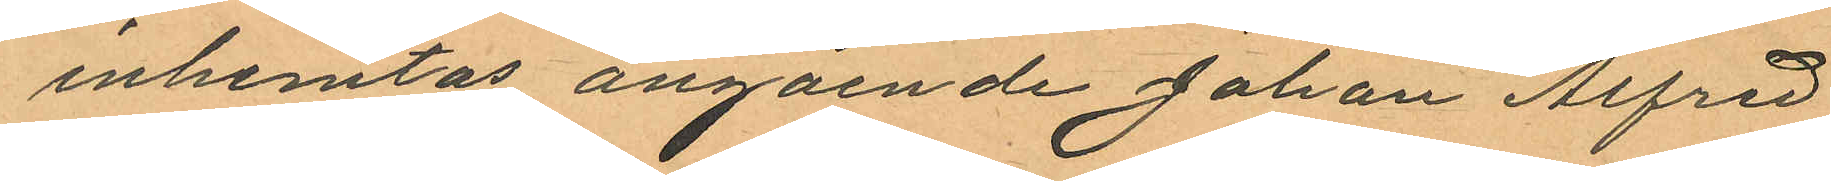inhemtas angående Johan Alfred
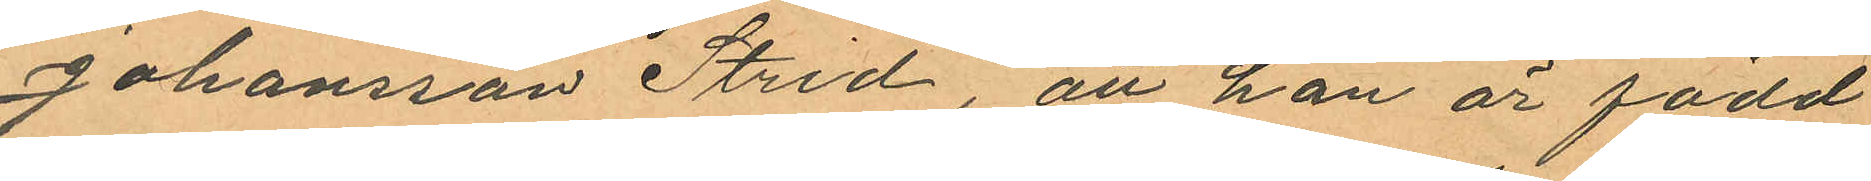Johansson Strid, att han är född
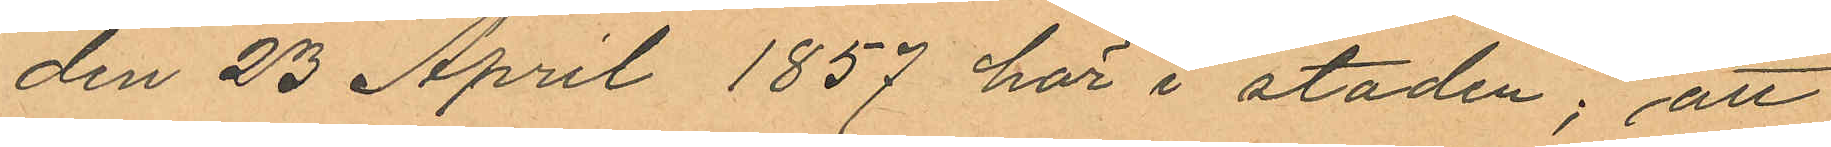den 23 April 1857 här i staden; att
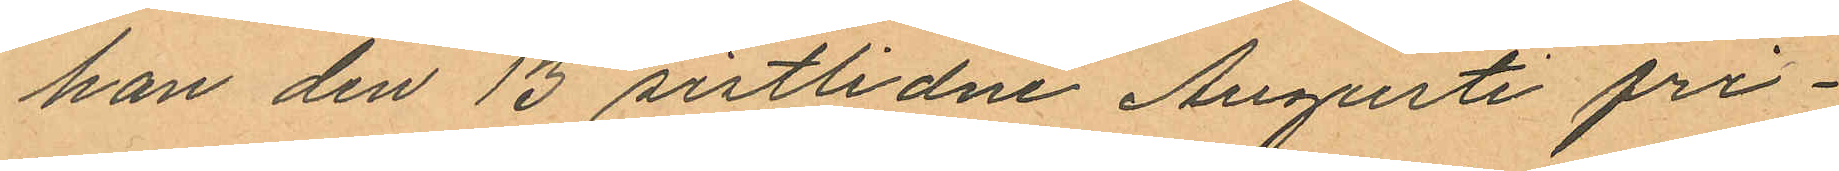han den 13 sistlidne Augusti fri¬
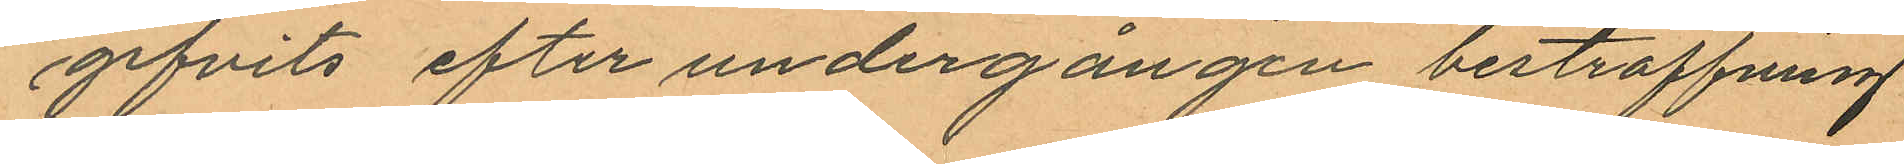gifvits efter undergången bestraffninng
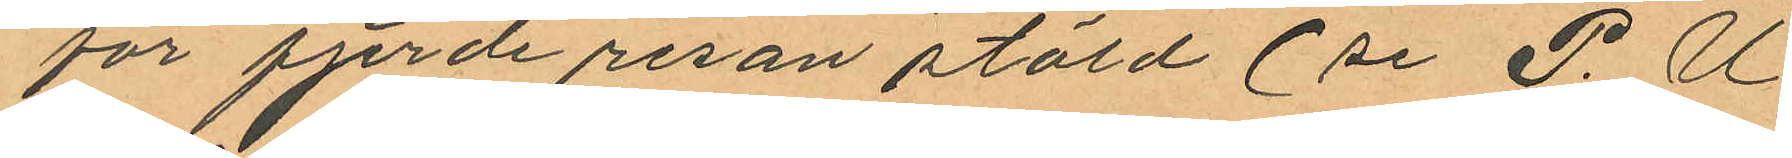för fjerde resan stöld (se P. U
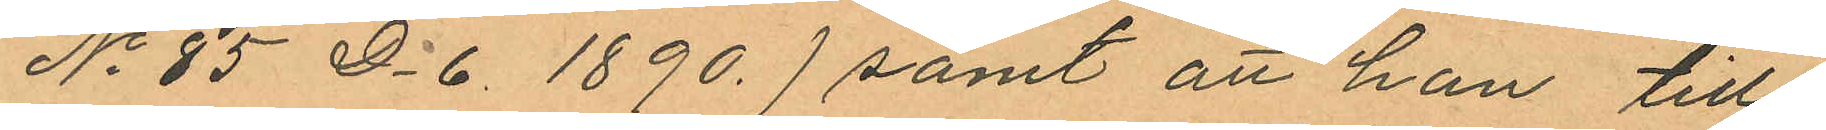No 85 D.6. 1890.) samt att han till¬
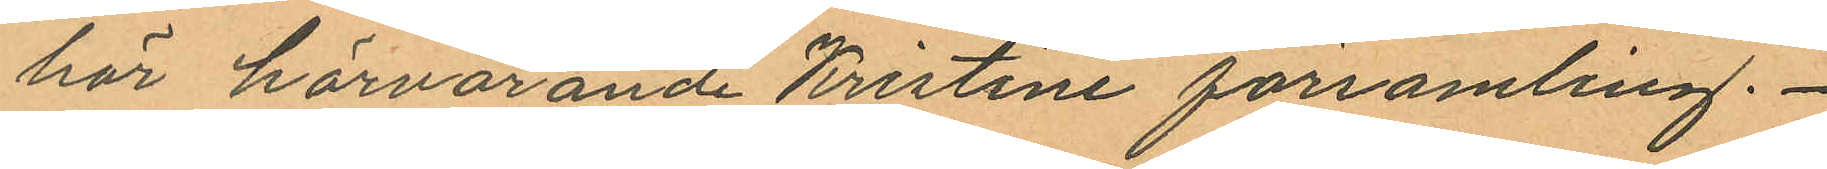hör härvarande Kristine församling.
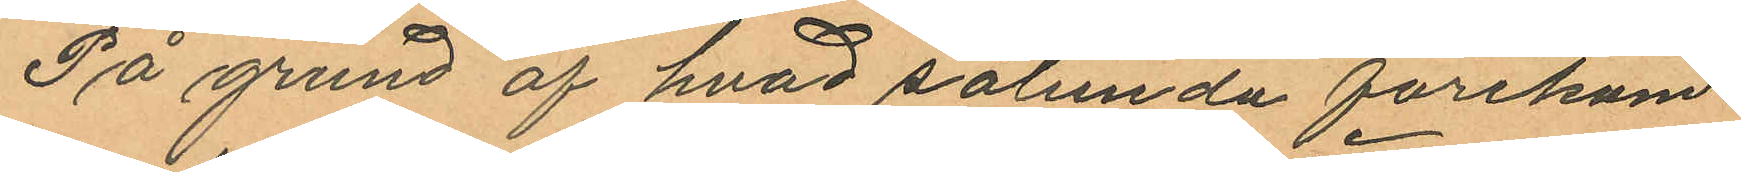På grund af hvad sålunda förekom¬
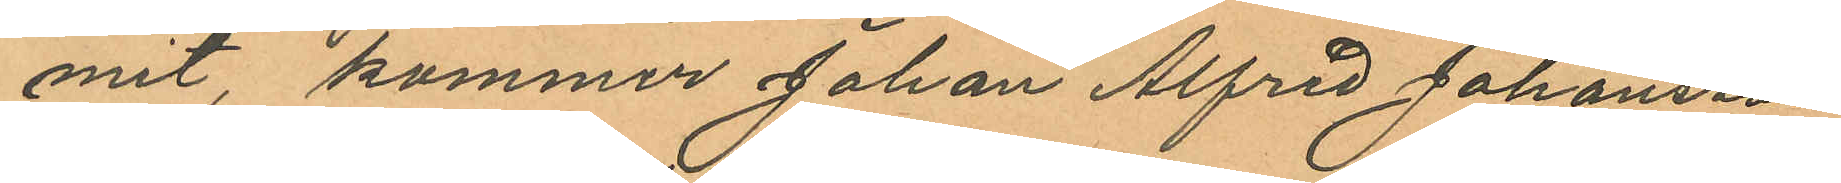mit, kommer Johan Alfred Johansson
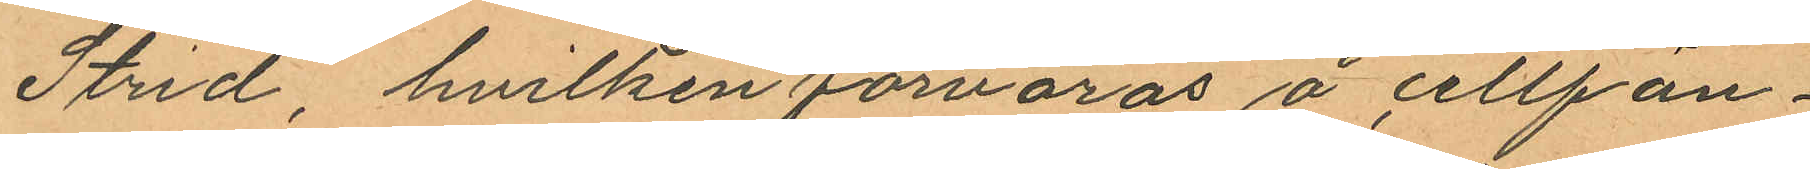Strid, hvilken förvaras å cellfän¬
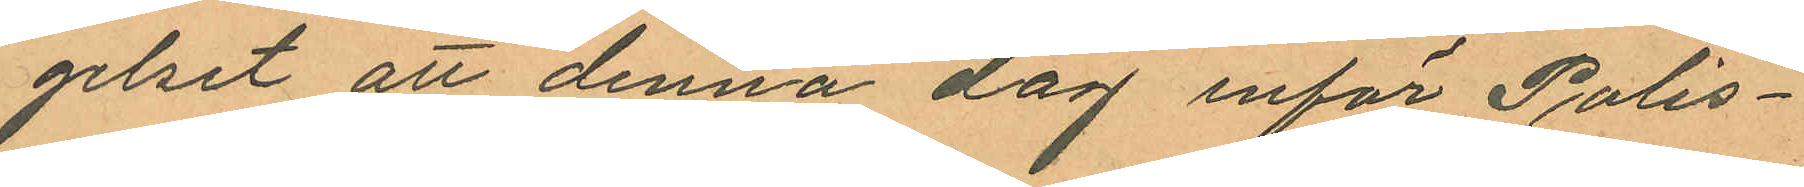gelset att denna dag inför Polis¬
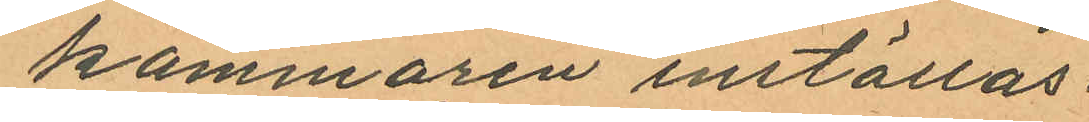kammaren inställas.
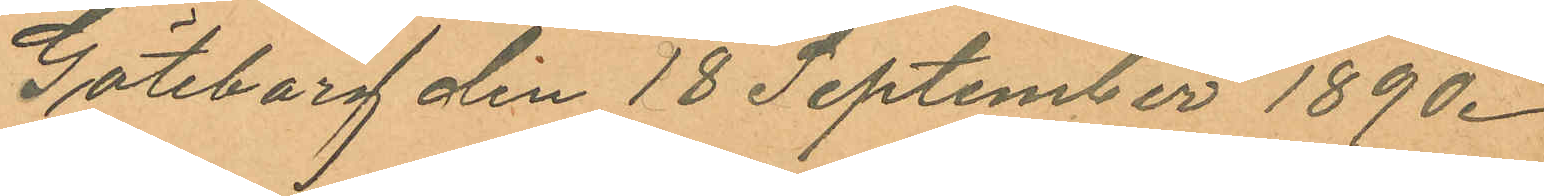Göteborg den 18 September 1890.
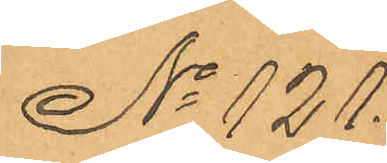No 121.
